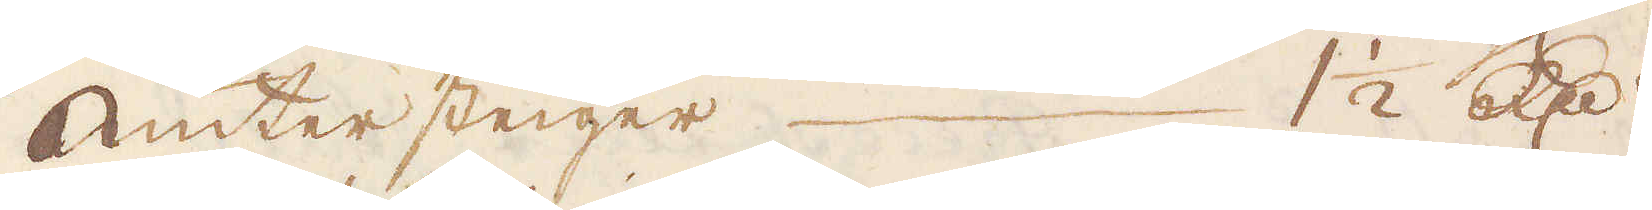Unter steiger 1 1/2 R:dr
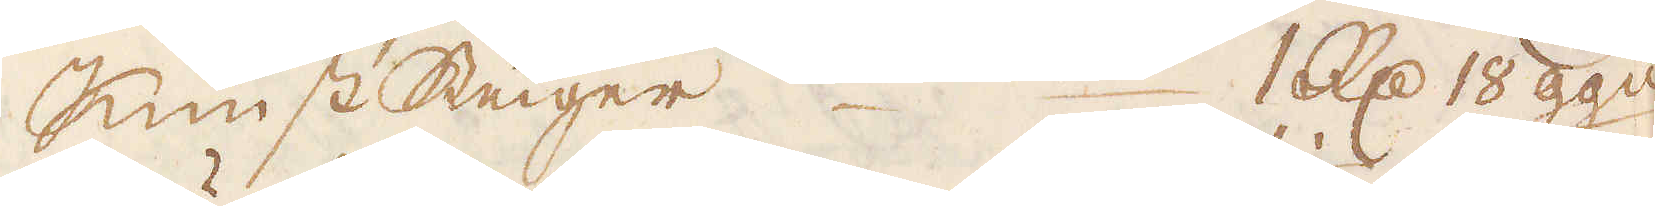Kunst Steiger 1 R:d 18 ggn
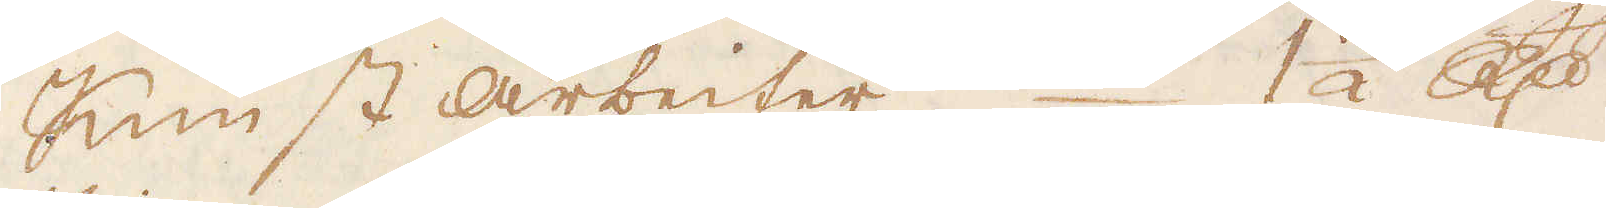Kunst Arbeiter  1 1/2 R:dr
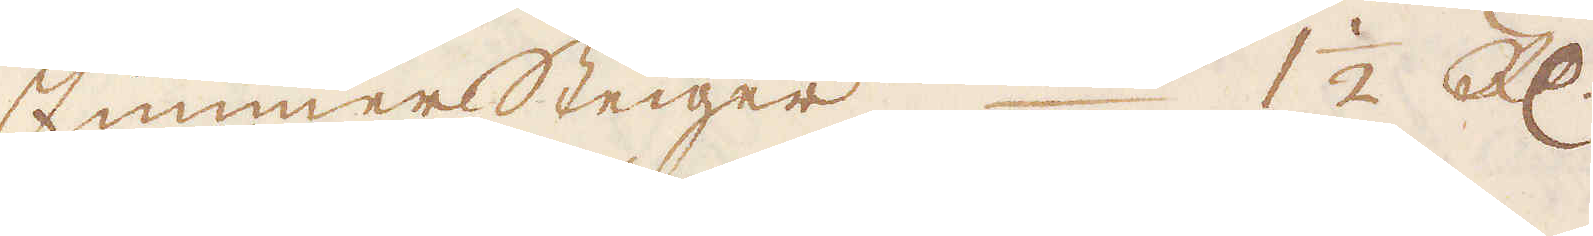ZimmmerSteiger 1 1/2 R:dr
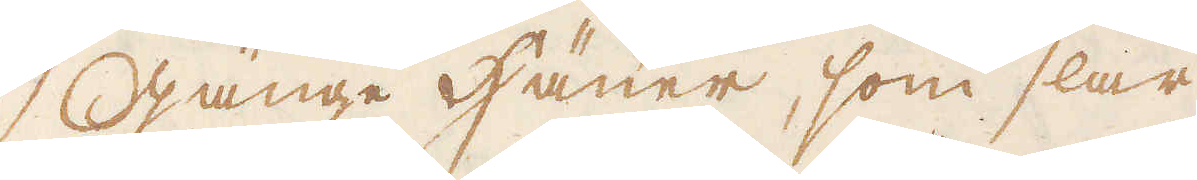GÄnge Häuer, som slår
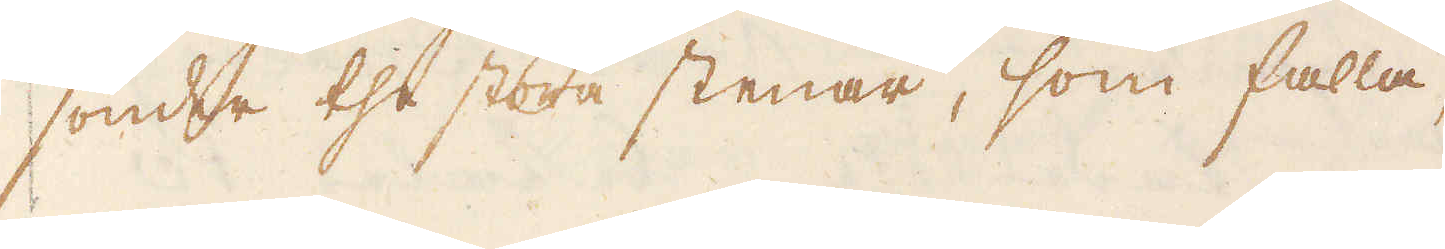sönder the stora stenar, som falla,
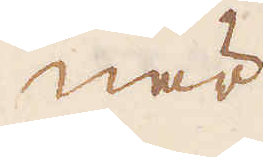när
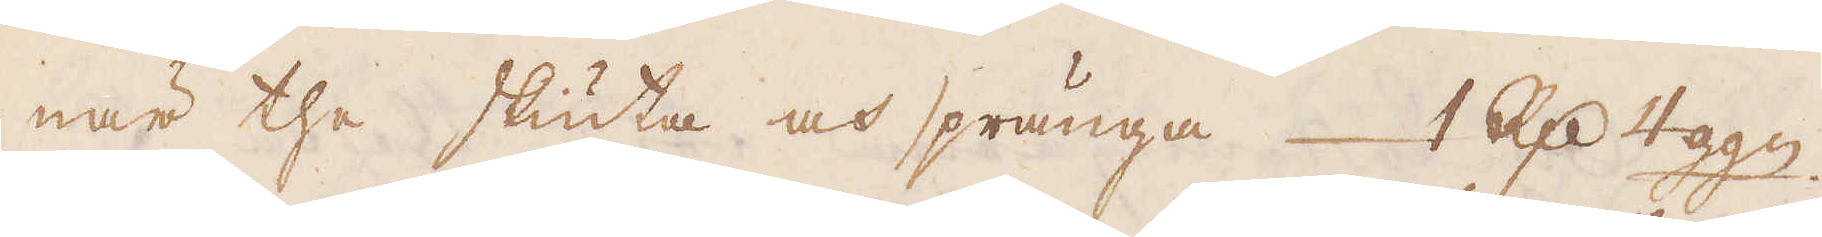när the skiuta och spränga 1 R:d 4 ggn.
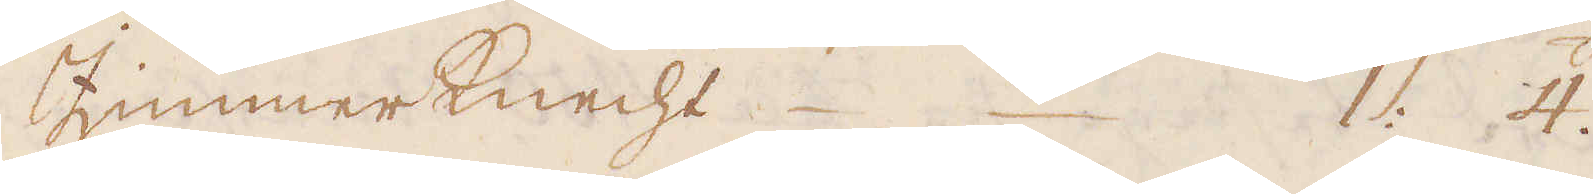Zimmerknecht 1: 4.
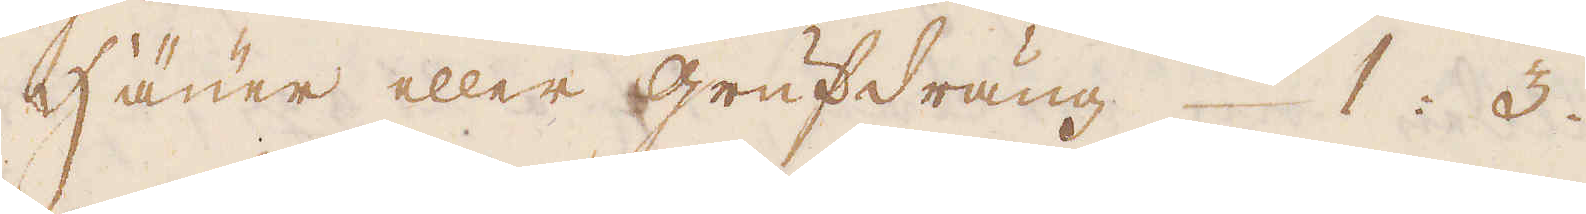Häuer eller grufdräng 1: 3.
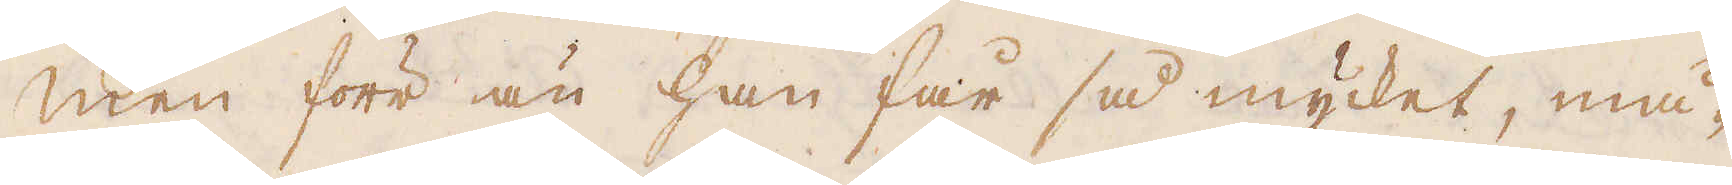Men förr än han får så mycket, må-
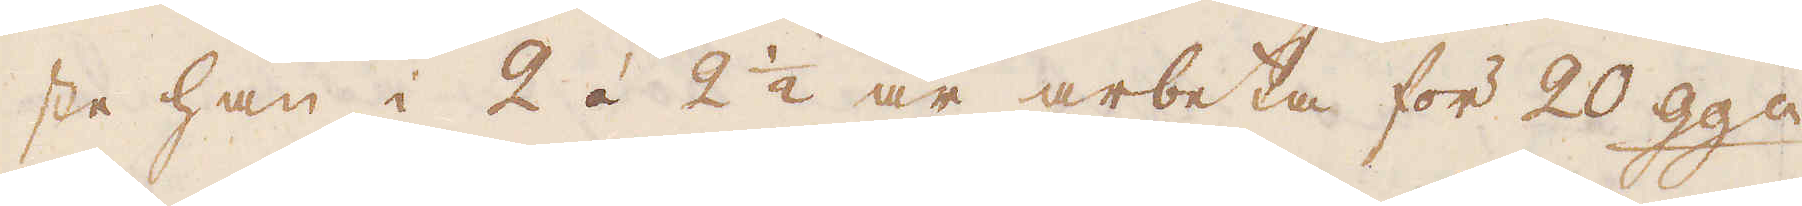ste han i 2 á 2 1/2 år arbeta för 20 ggn
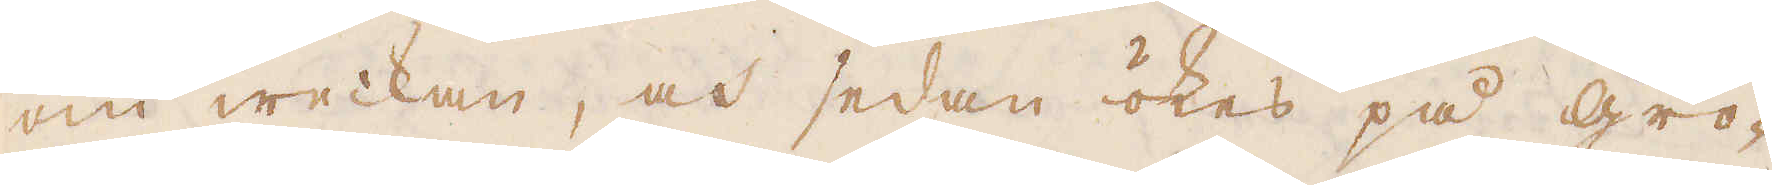om weckan, och sedan ökes på gro-
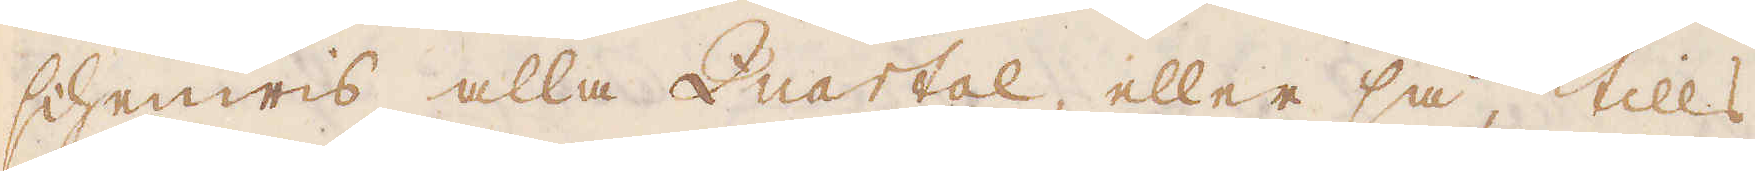schenwis alla Quartal, eller så tills
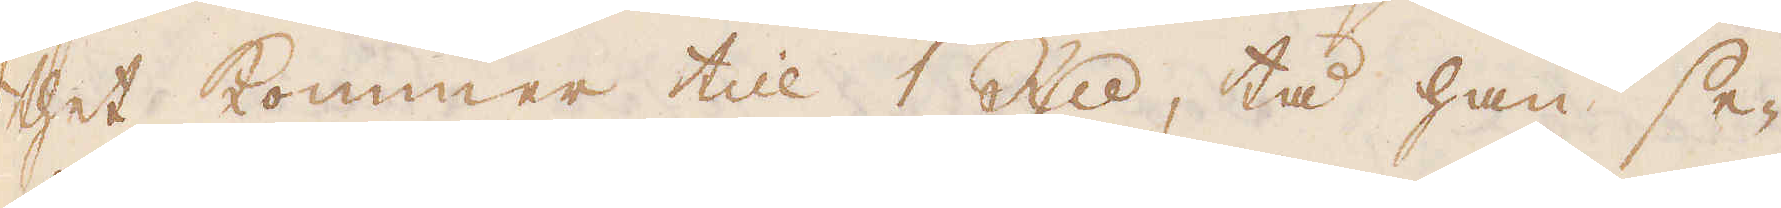thet kommer till 1 R:dr, tå han se-
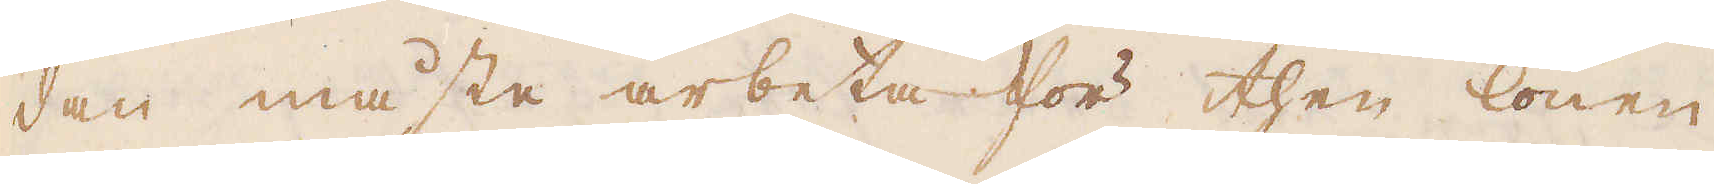dan måste arbeta för then lönen
